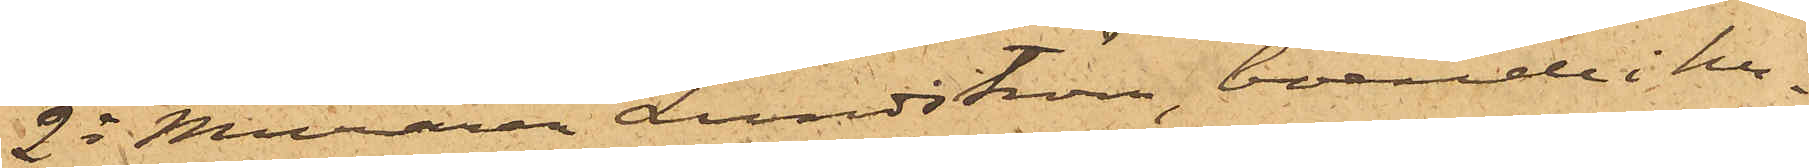2o Muraren Lundström, boende i hu¬
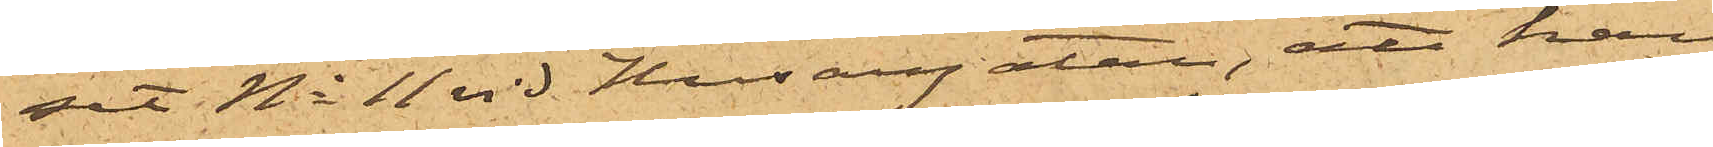set No 11 vid Husargatan, att han
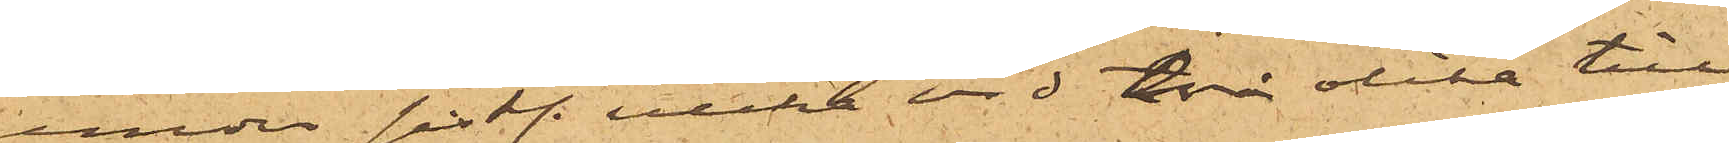under sist. vecka vid två olika till¬
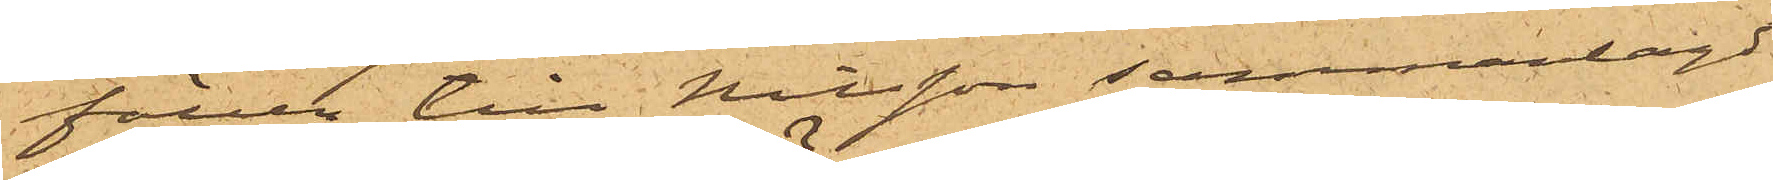fällen till Nilsson sammanlagdt
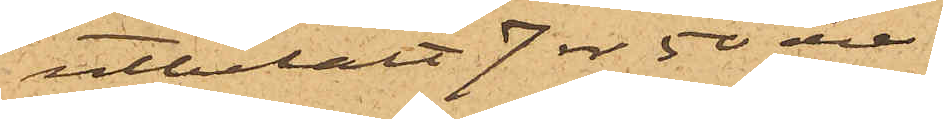utbetalt 7 rdr 50 öre.
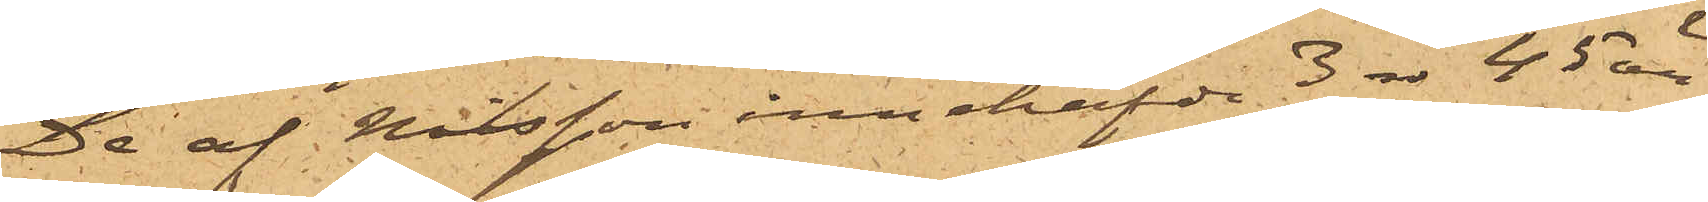De af Nilsson innehafde 3 rdr 45 öre
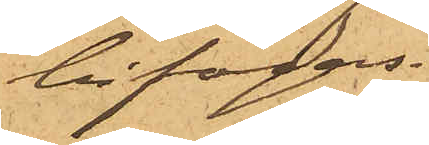bifogas.
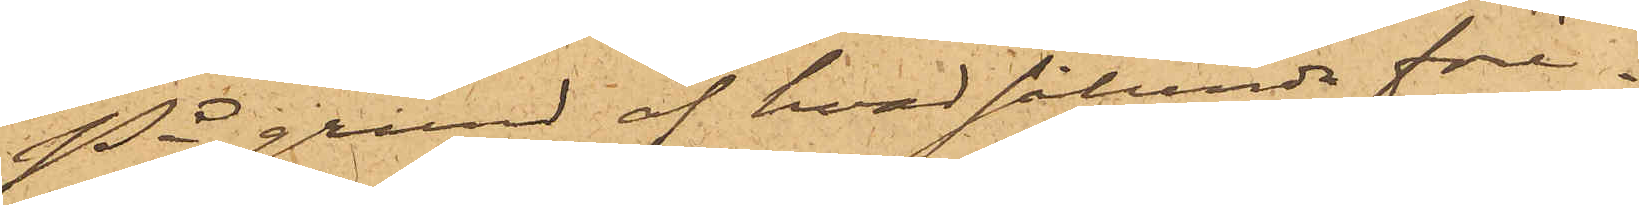På grund af hvad sålunda före¬
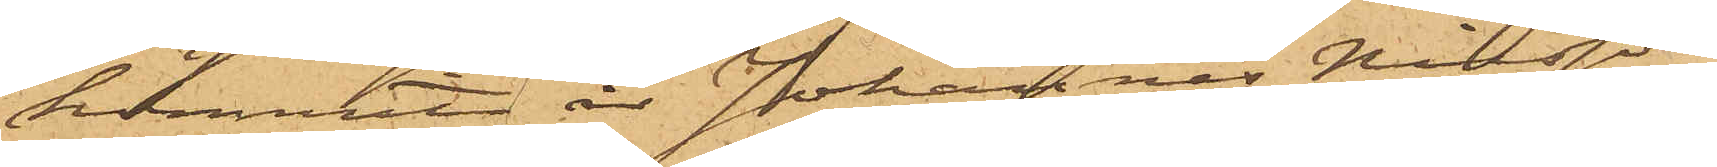kommit, är Johannes Nilsson
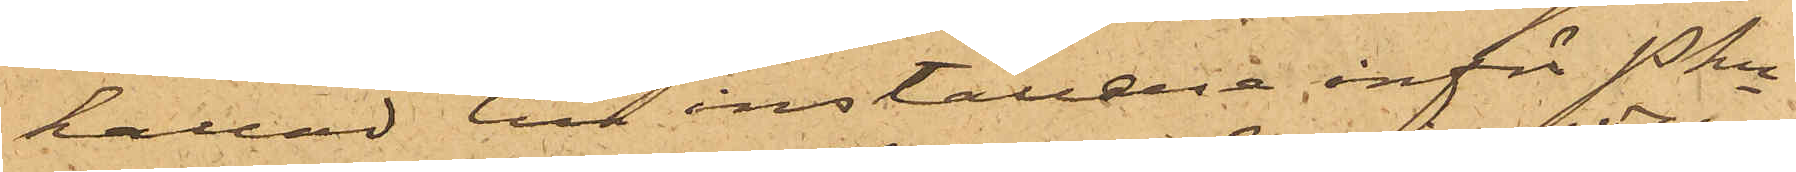kallad till inställele inför Pkn
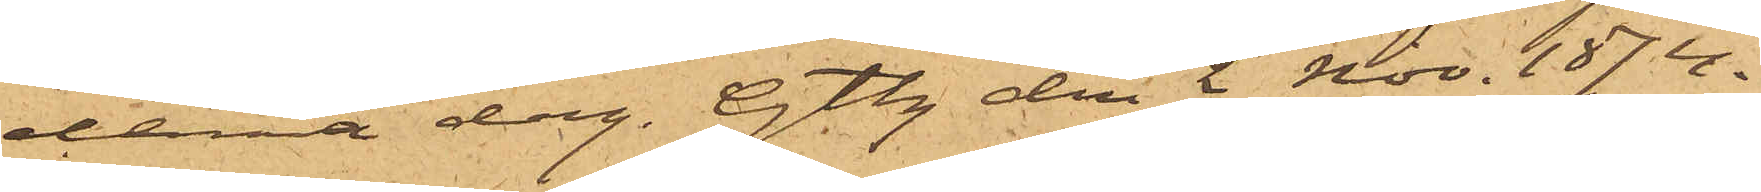denna dag. Gtbg den 2 Nov. 1874.
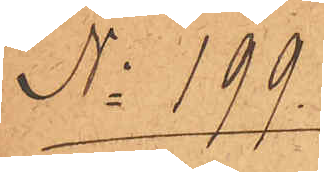No 199.
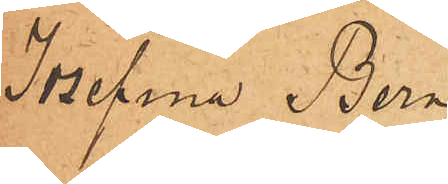Josefina Bern¬
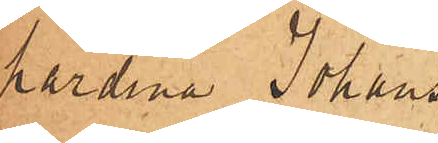hardina Johans¬
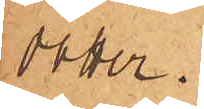son.
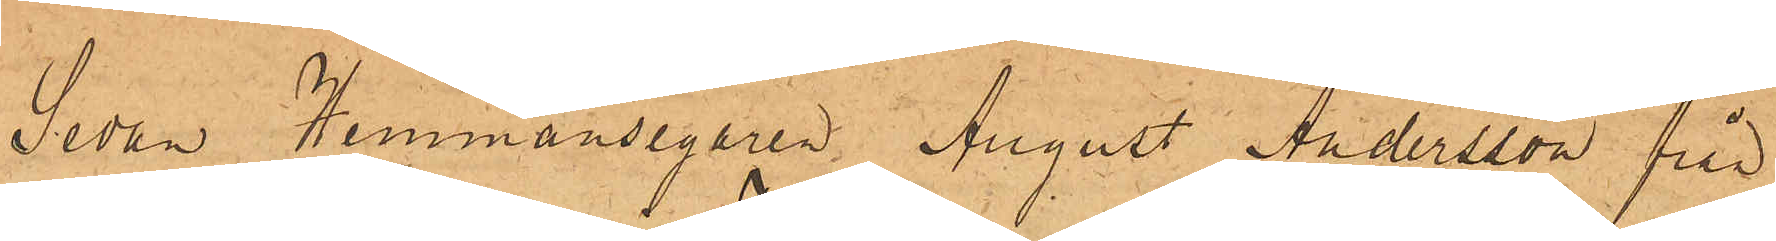Sedan Hemmansegaren August Andersson från
